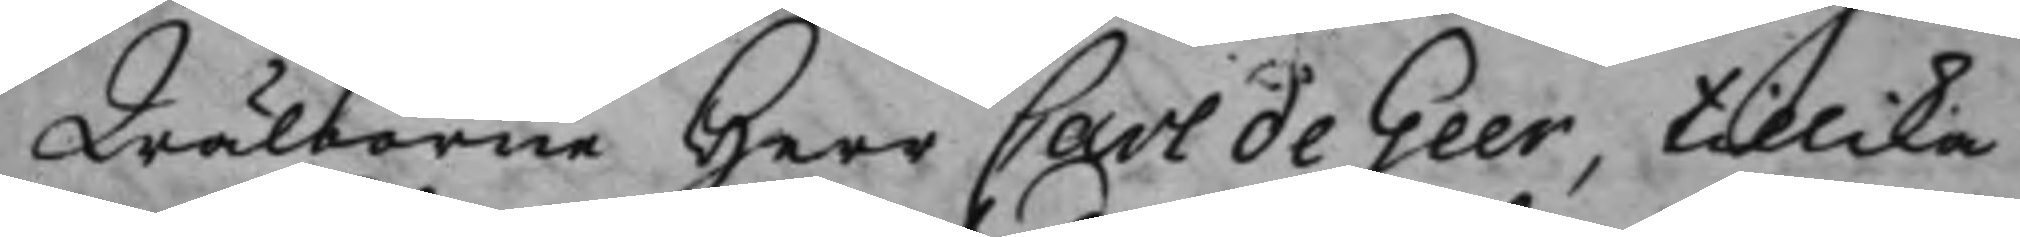Wälborne Herr Carl de Geer, tillika
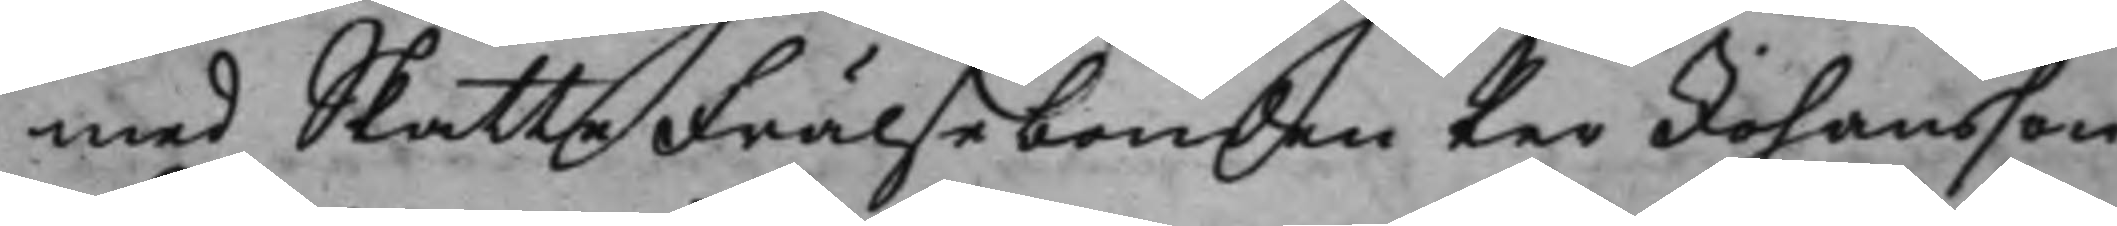med SkatteFrälsebonden Per Johansson
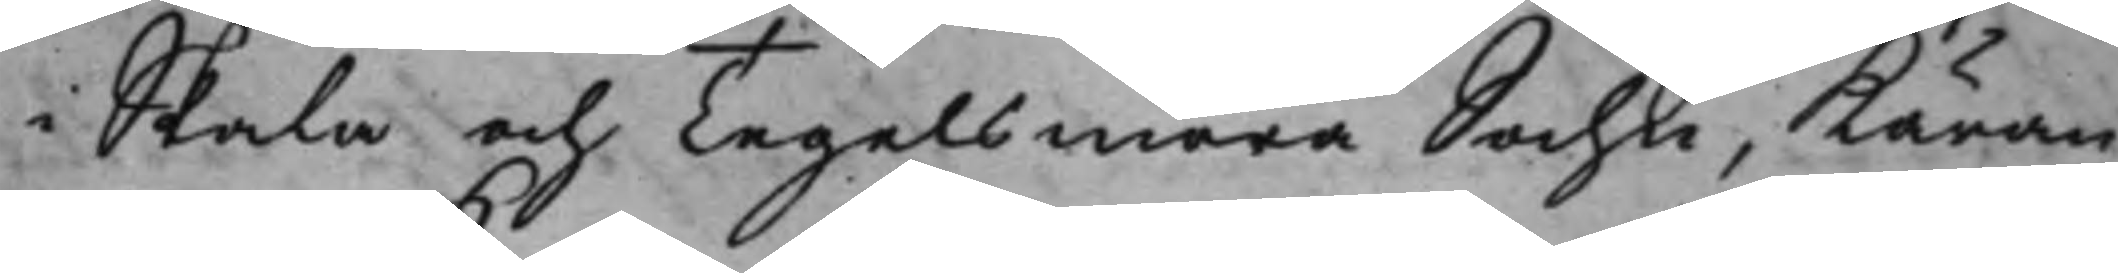i Skala och Tegelsmora Sochn, Käran¬
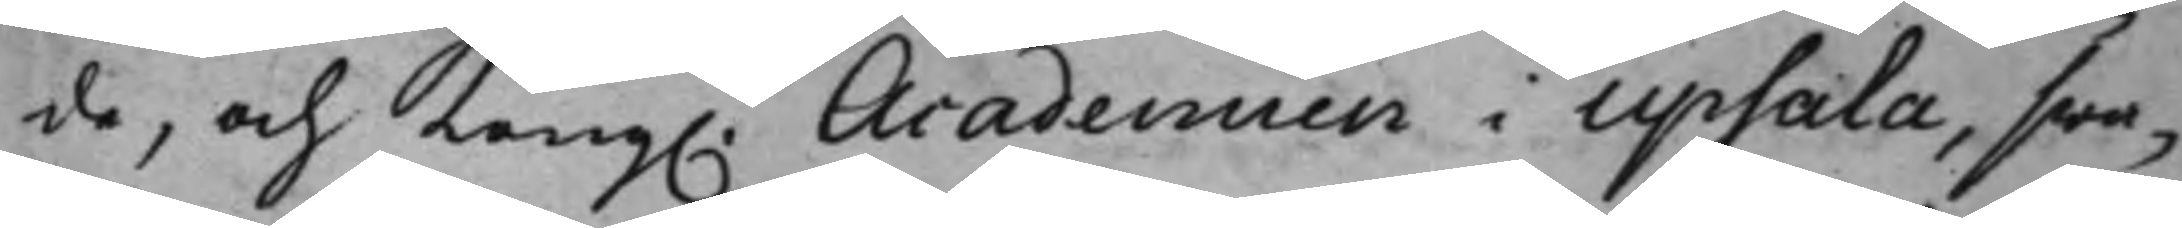de, och Kong. Academien i Upsala, swa¬
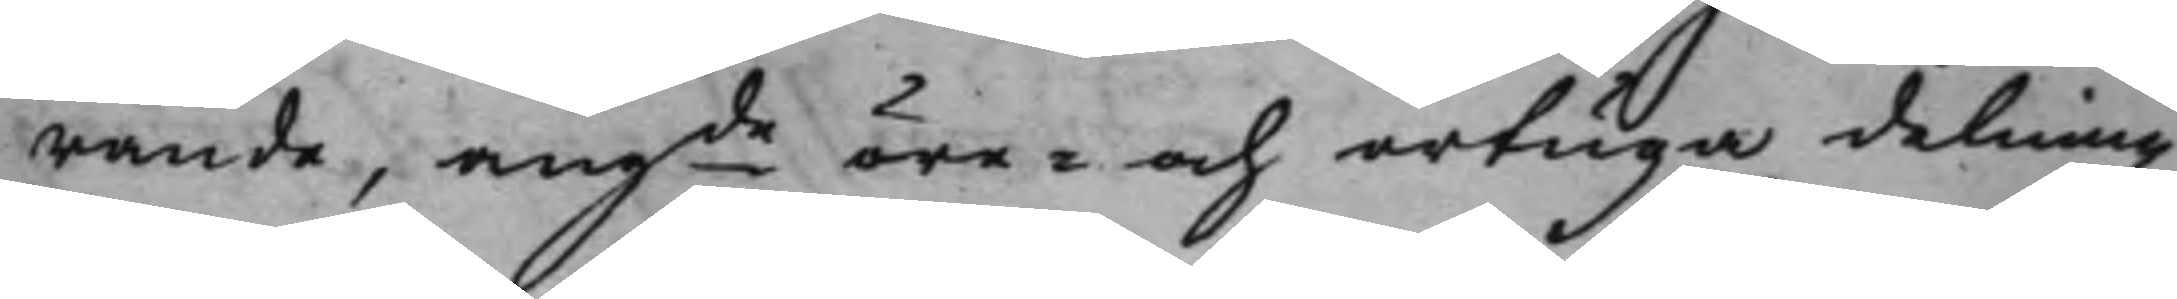rande, angde öre- och örtugadelning
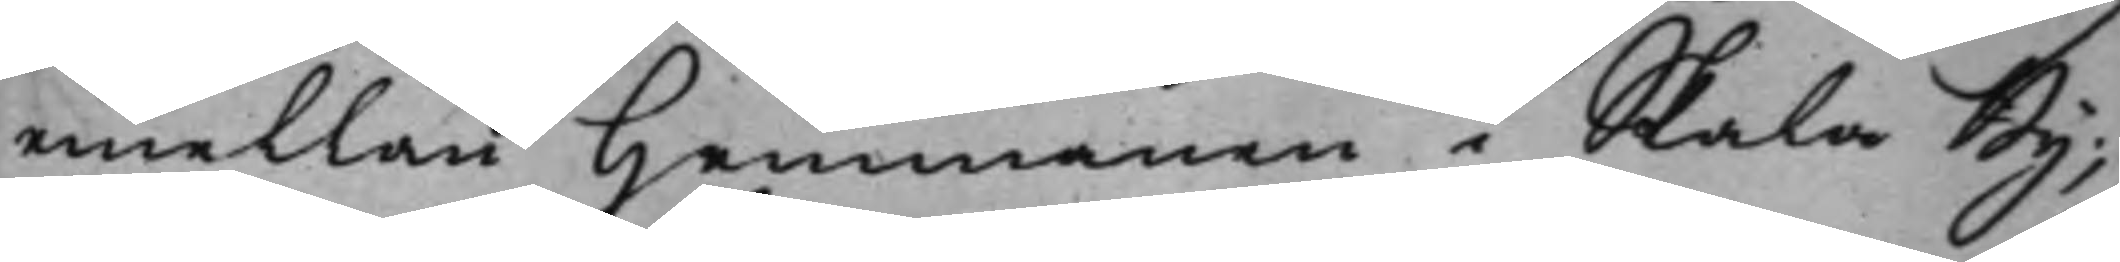emellan Hemmanen i Skala By;
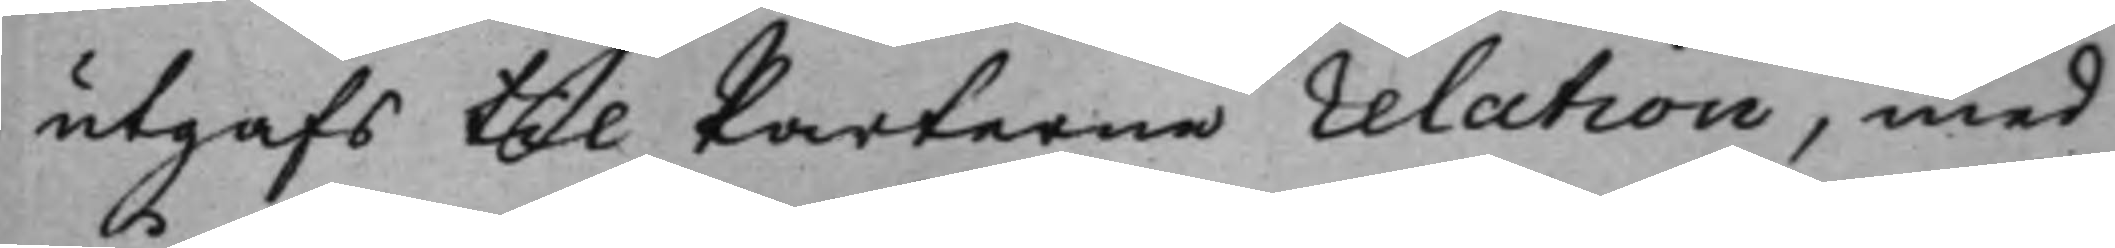utgafs til Parterne relation, med
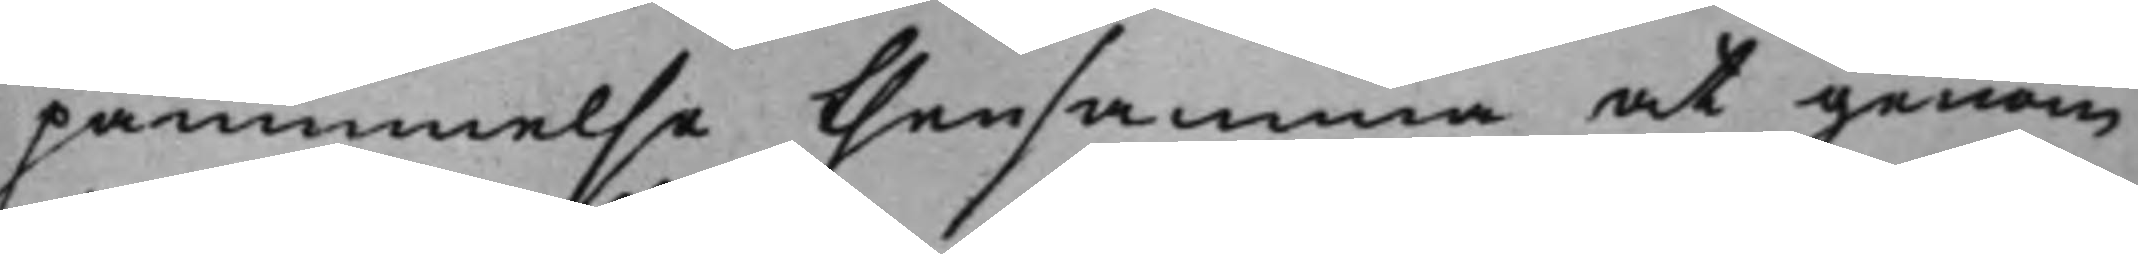påminnelse thensamma at genom
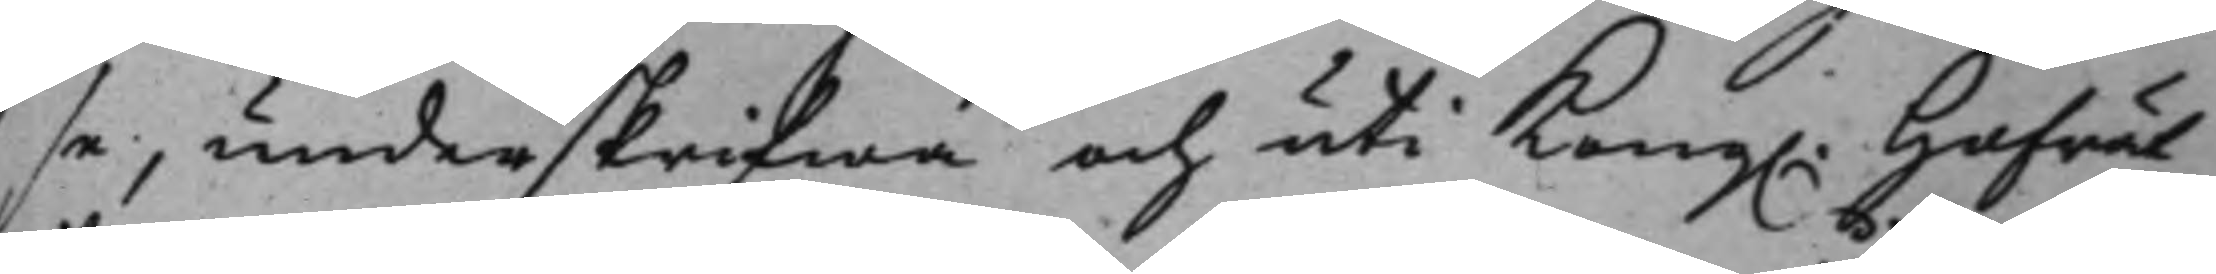se, underskrifwa och uti Kong. Hofrät¬
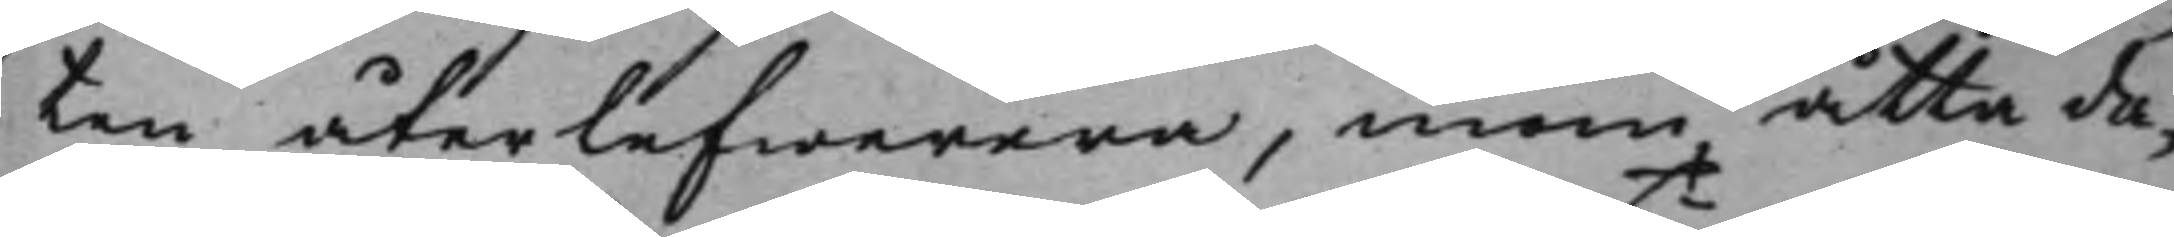ten återlefwerera, inom åtta da¬
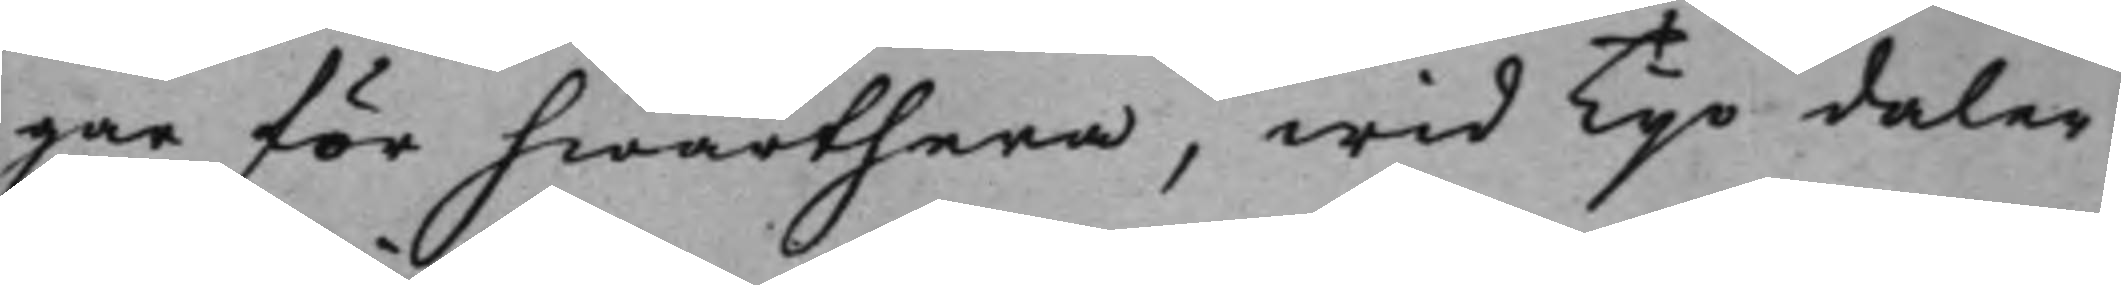gar för hwarthera, wid Tijo daler
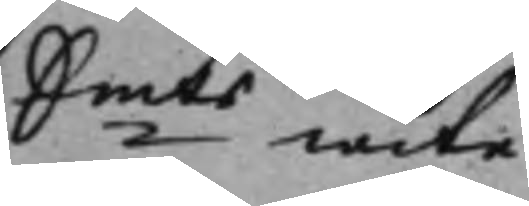Smts wite.
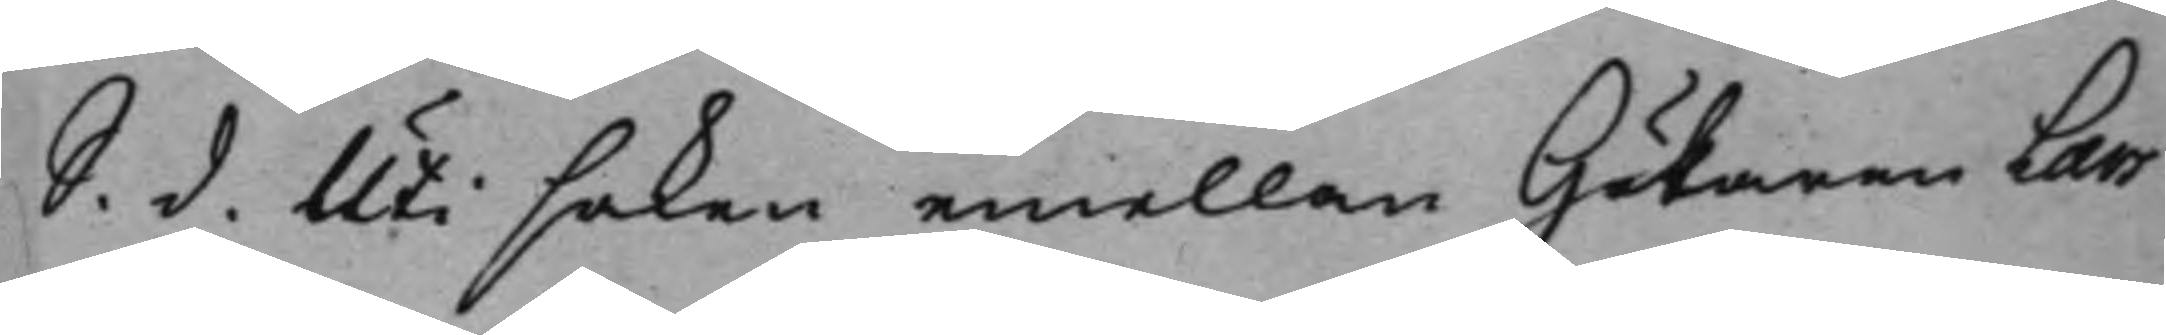S. d. Uti saken emellan Hökaren Lars
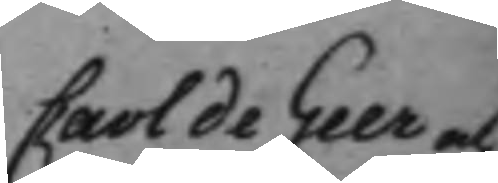Carl de Geer och
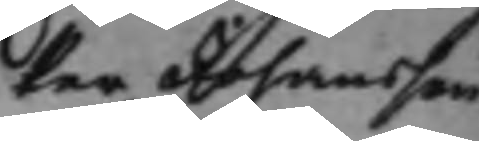Per Johansson
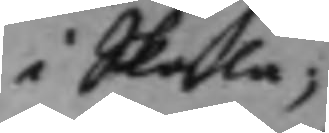i Skala
